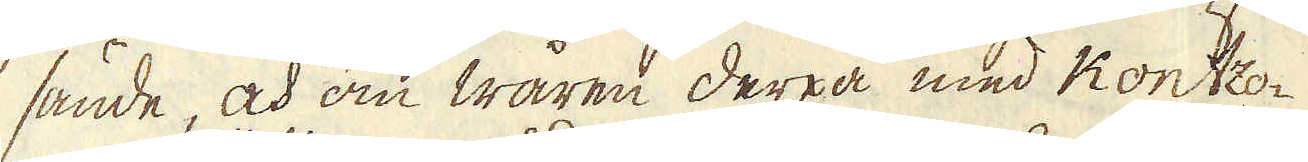sände, och om wåren derpå med Kontzo-
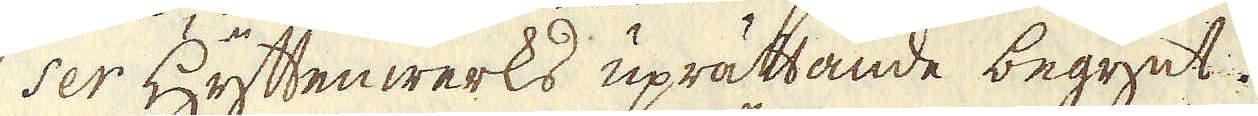ser Hyttenwerks uprättande begynt.
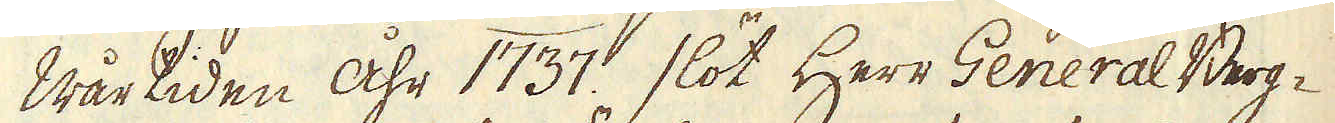Wårtiden åhr 1737. slöt Herr General Berg-
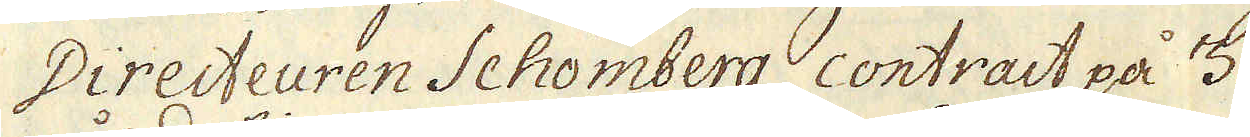Directeuren Schömberg contract på 3.
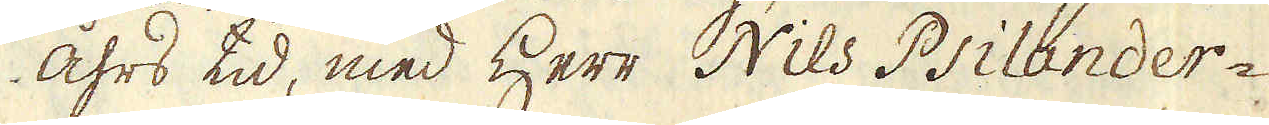åhrs tid, med Herr Nils Psilander-
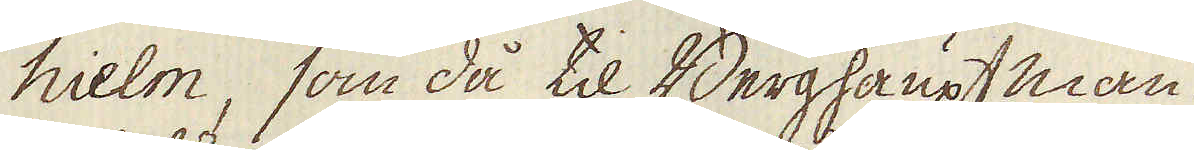hielm, som då til Berghaupt man
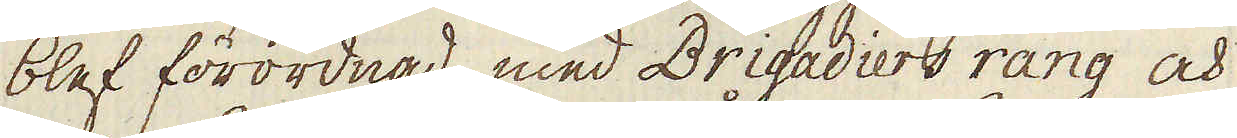blef förordnad, med Brigadiers rang och
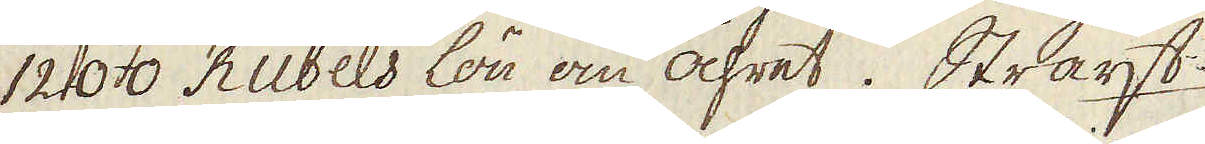1200. Rubels lön om åhret. Straxt
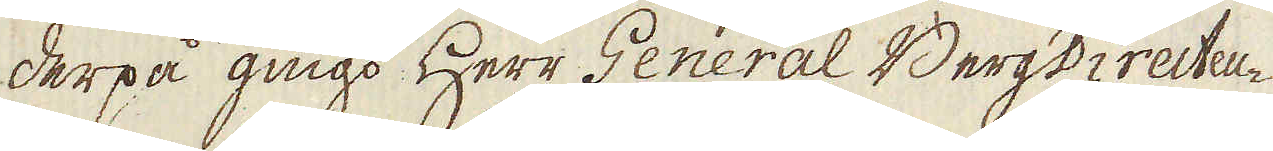derpå gingo Herr General BergDirecteu-
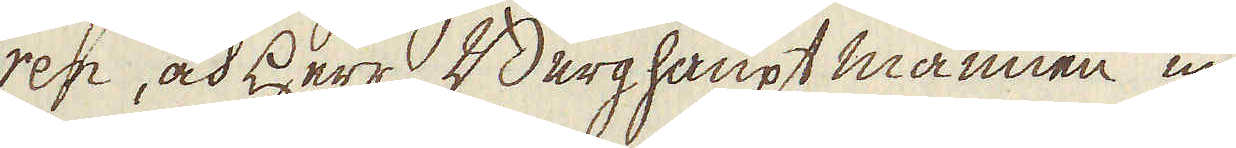ren, och Herr Berghaupt mannen up
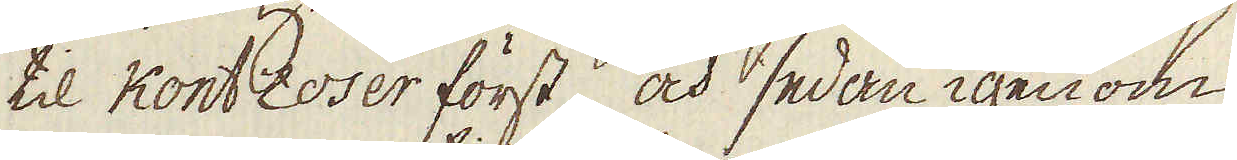til Kontzoser först, och sedan igenom
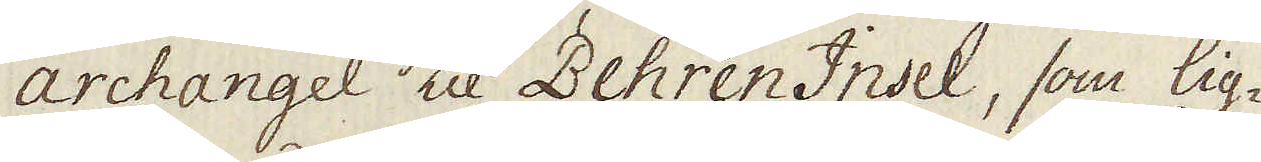Archangel til Behren Insel, som lig-
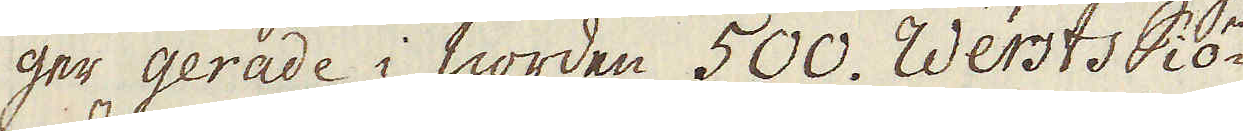ger gerade i norden 500. Wersts Siö-
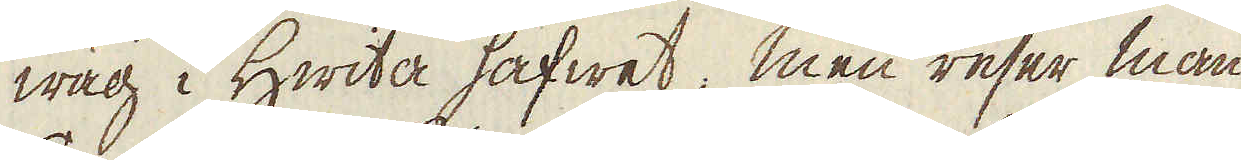wäg i Hwita hafwet, men reser man
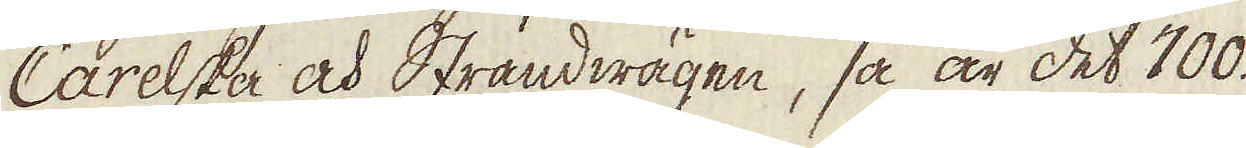Carelska och Strandwägen, så är det 700.
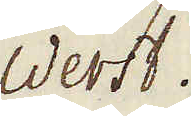Werst.
